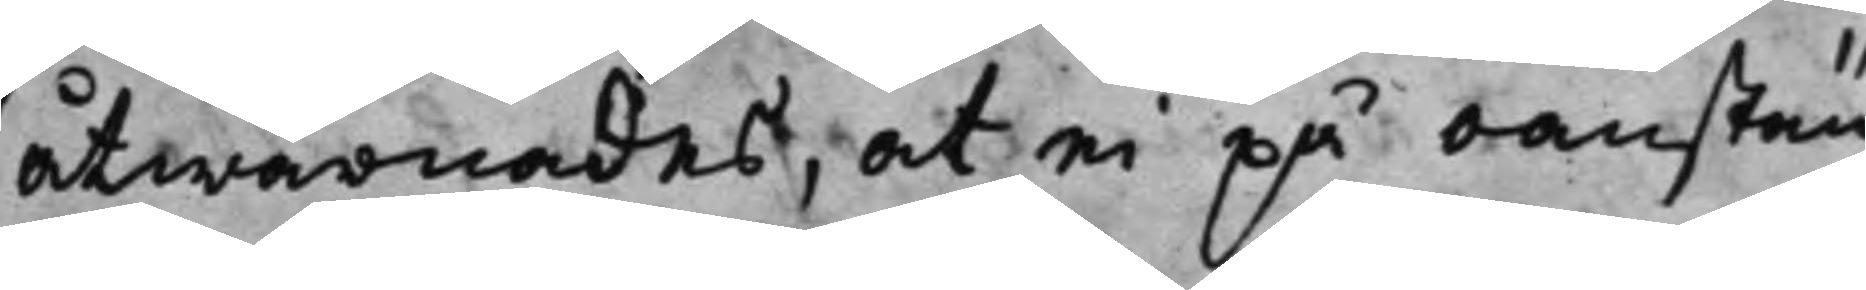åtwarnades, at ei på oanstän¬
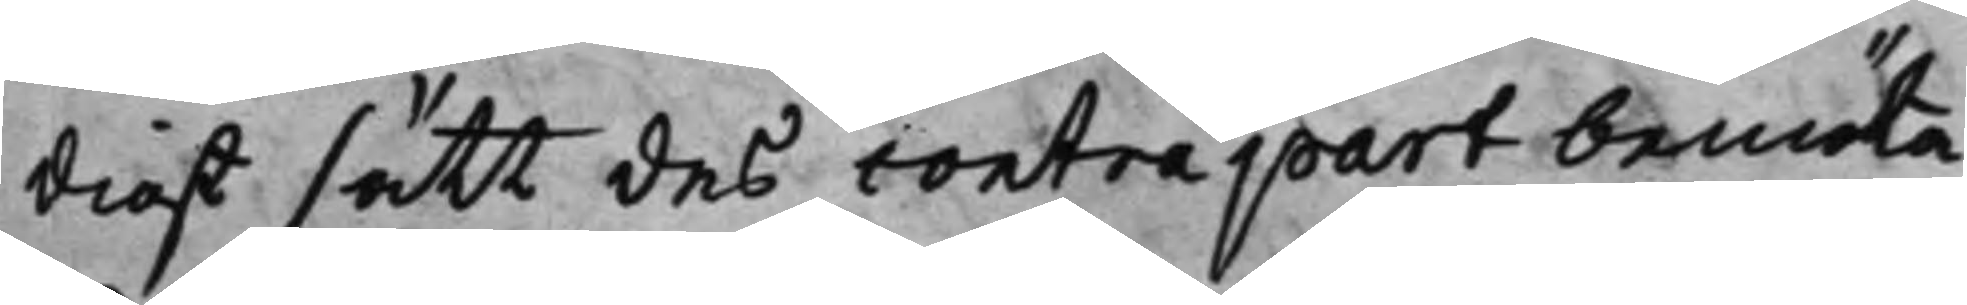digt sätt des contrapart bemöta
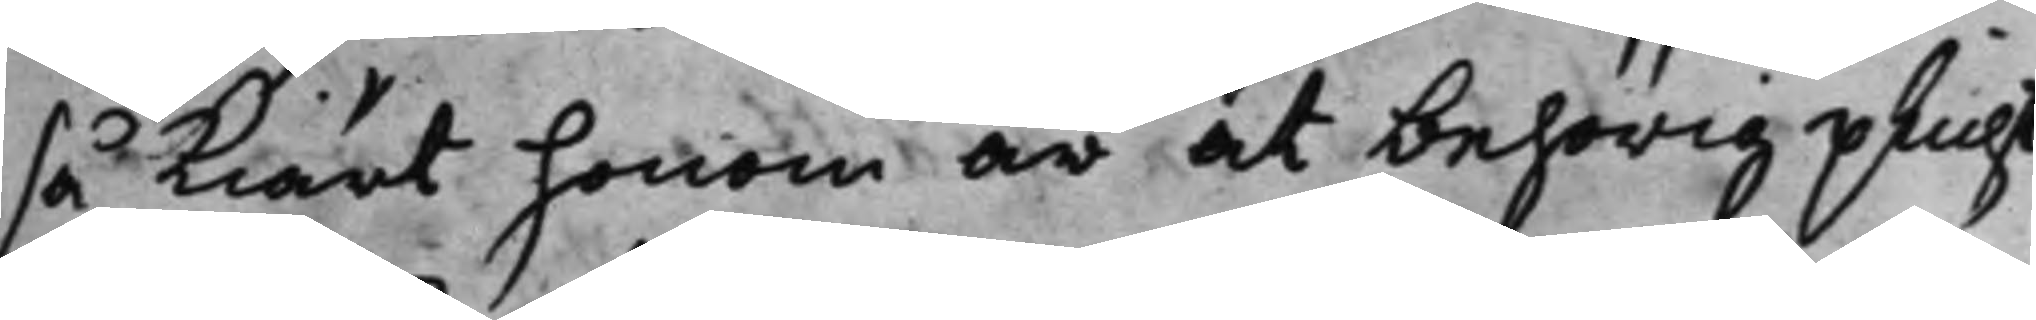så Kiärt honom är at behörig plicht
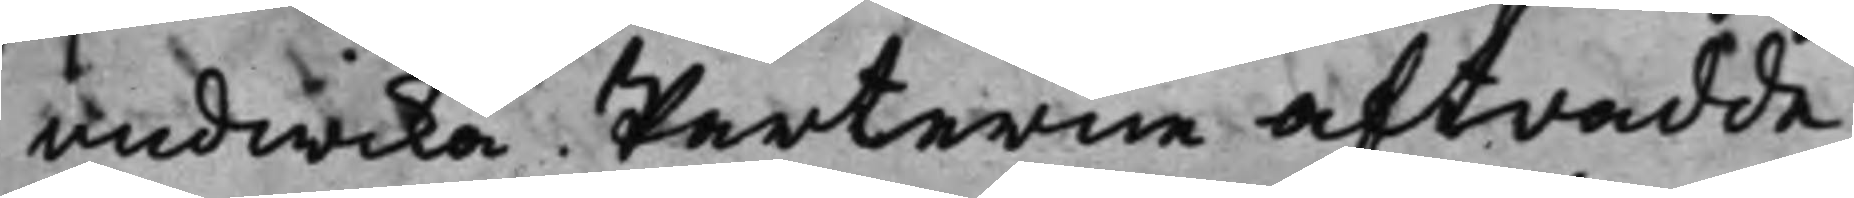undwika. Parterne aftradde.
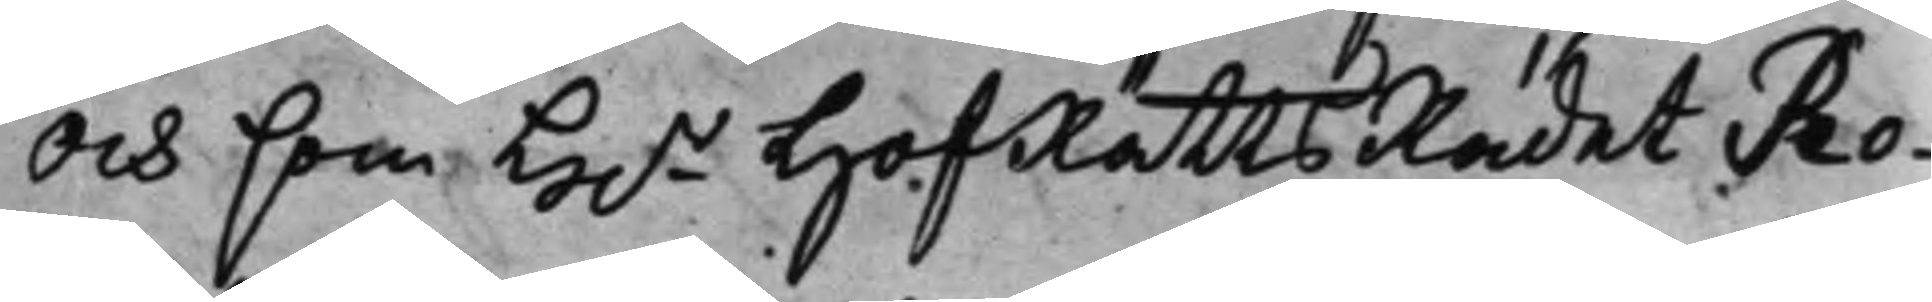Och som H.r HofRätts Rådet Ro¬
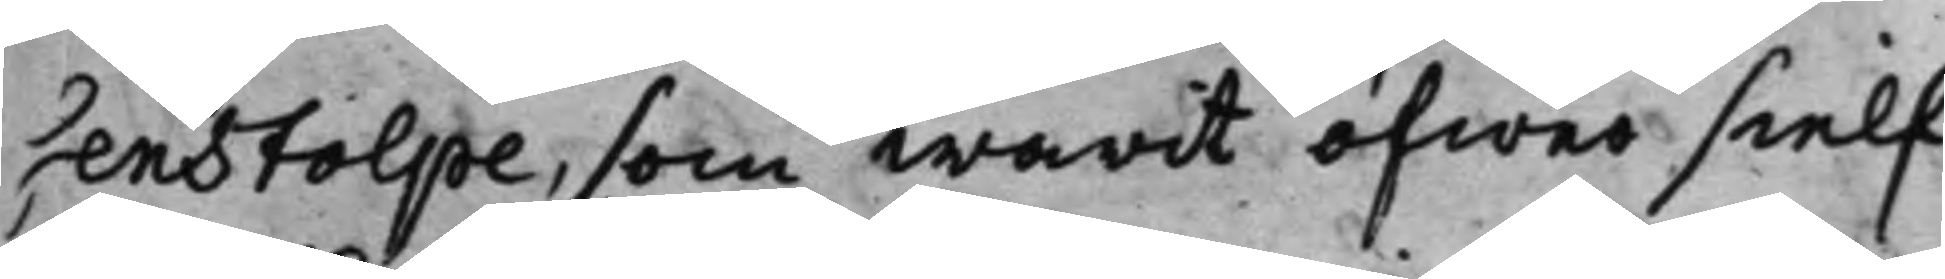senstolpe, som warit öfwer sielf¬
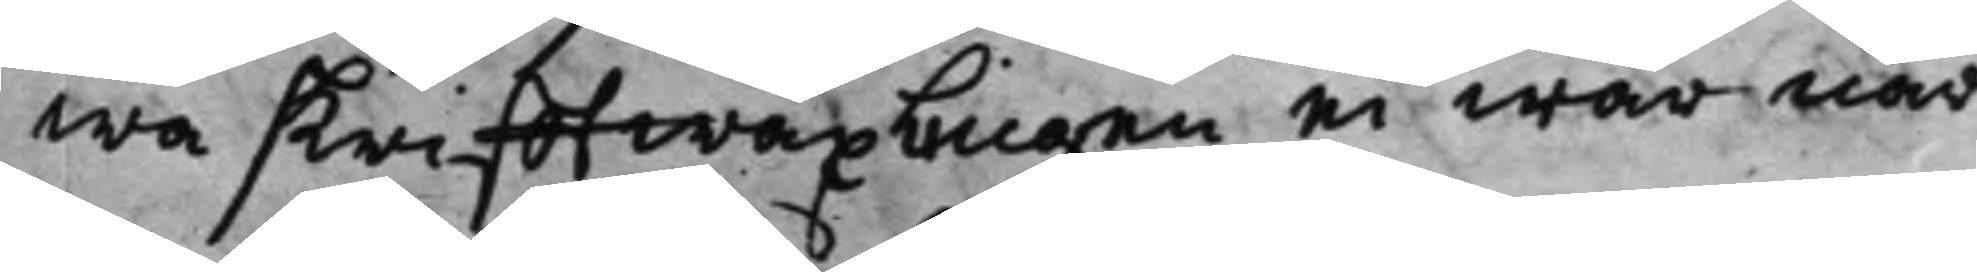wa skrifftwäxlingen ei war när¬
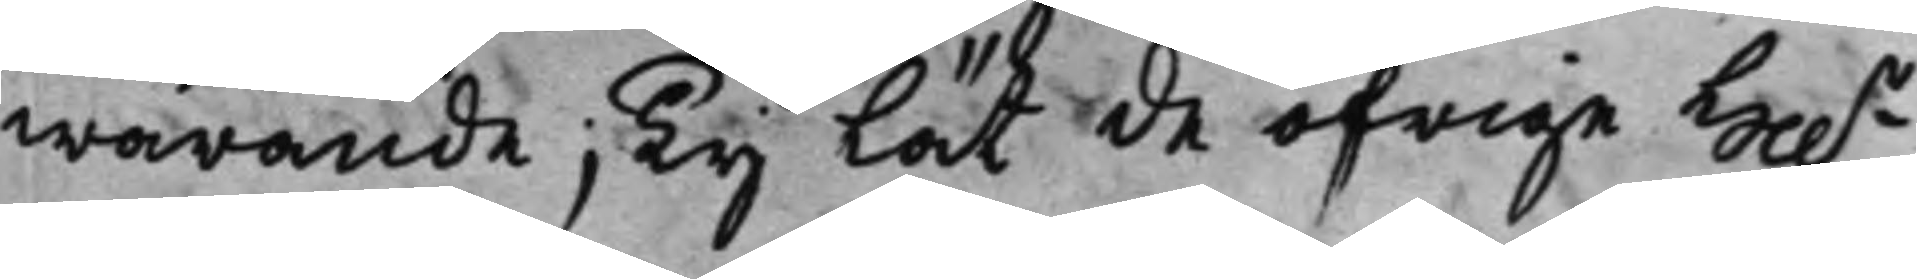warande; Ty Lät de öfrige H..r
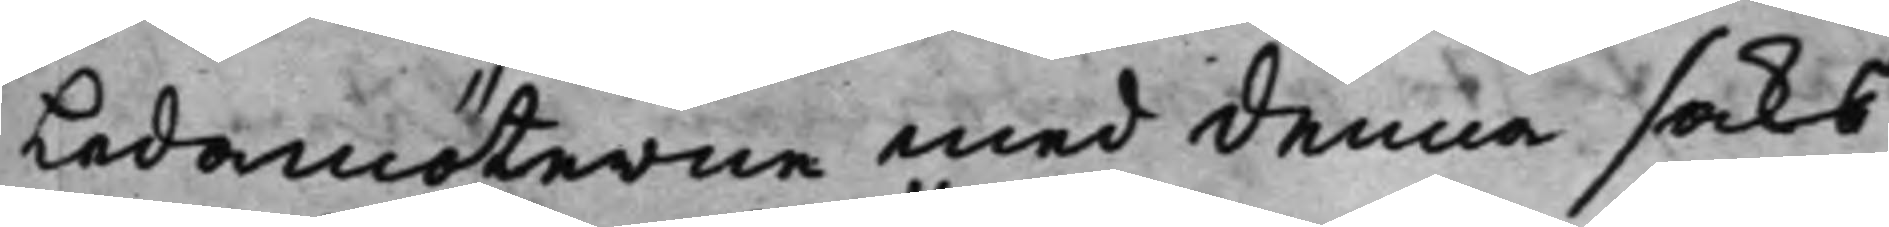Ledamöterne med denna saks
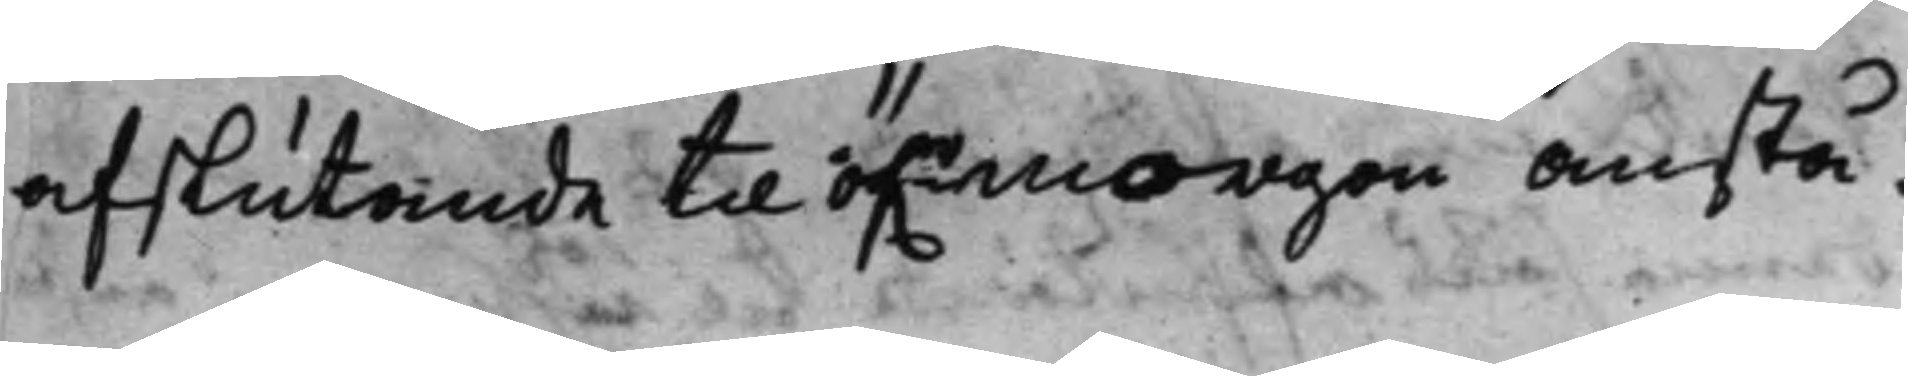afslutande till öf.rmorgon anstå.
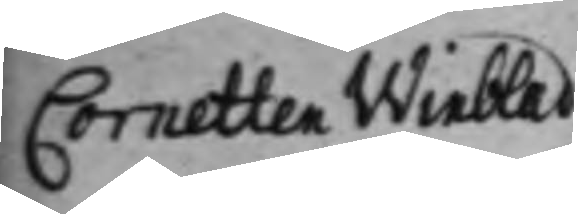Cornetten Winblad
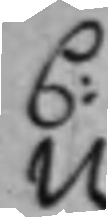C:
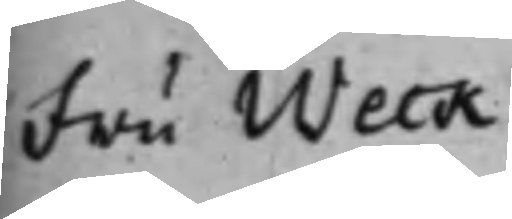Fru Weck
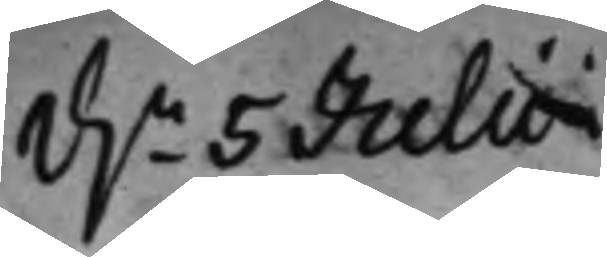d.n 5 Julii
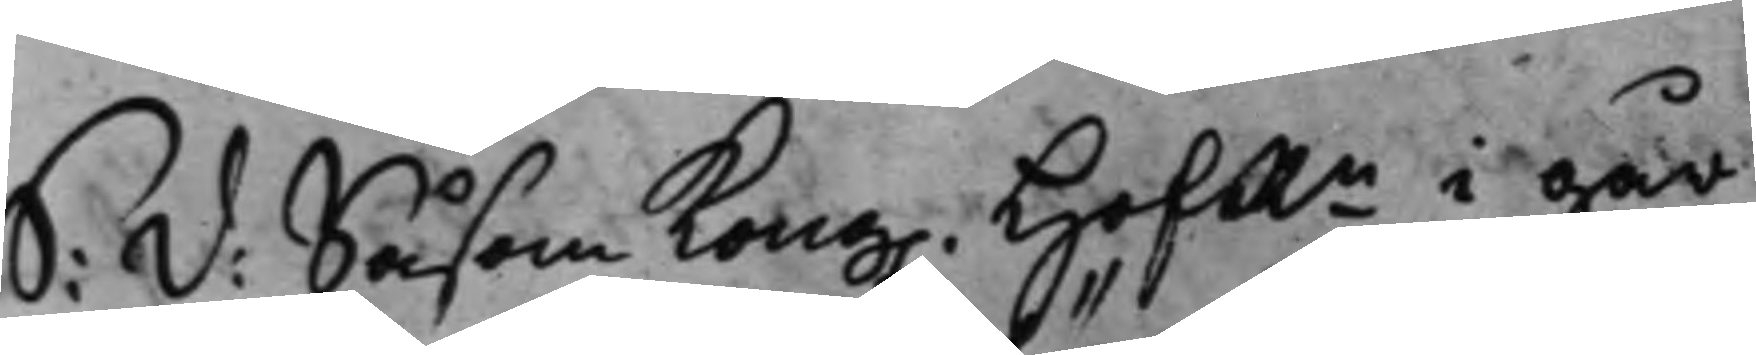S: d: Såsom Kong. HofRn i går
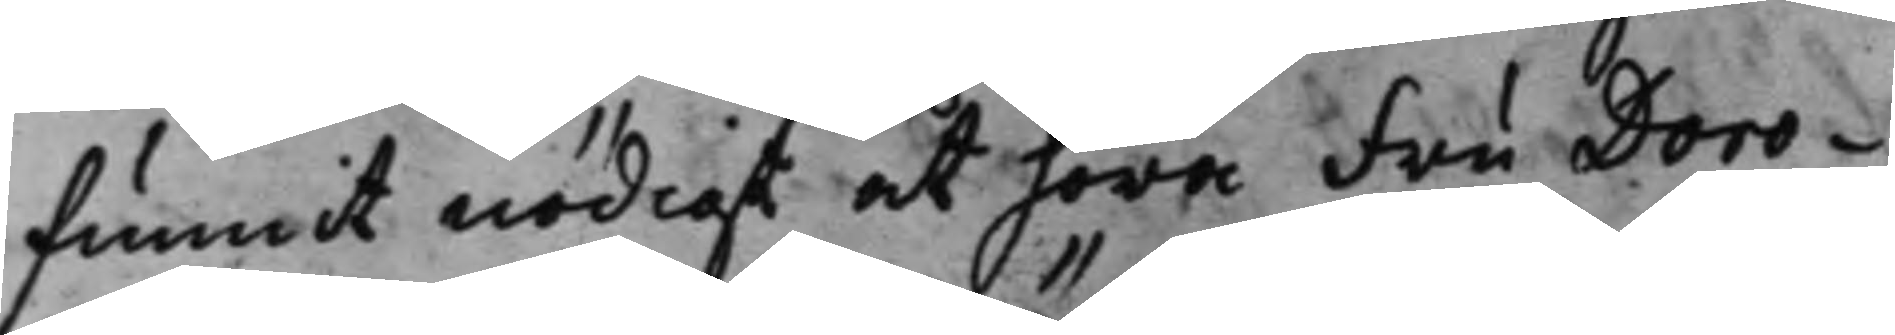funnit nödigt at höra Fru Doro¬
